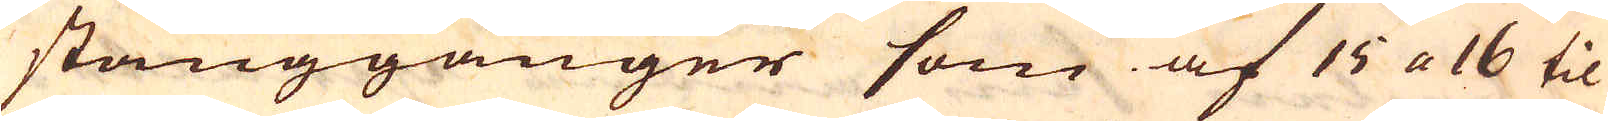stånggånger som af 15 a 16 til
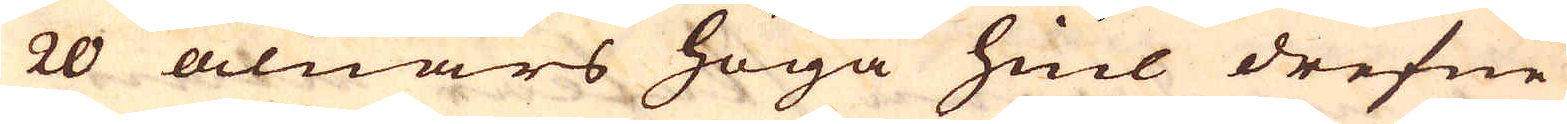20 alnars höga hiul drefne
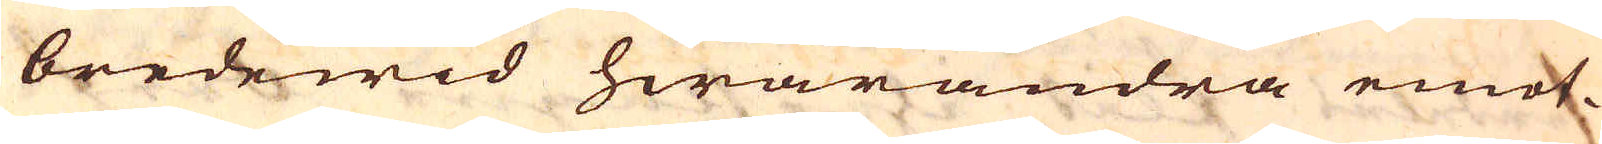bredewid hwarandra emot-
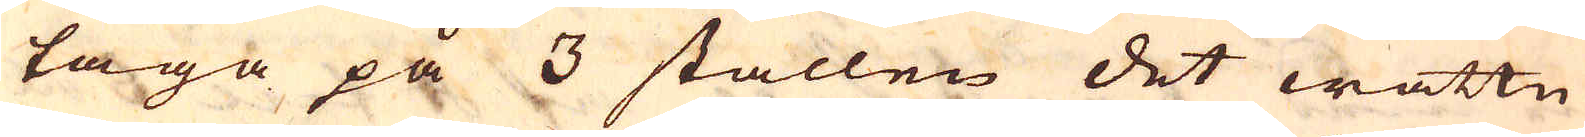taga på 3 ställen det wattn
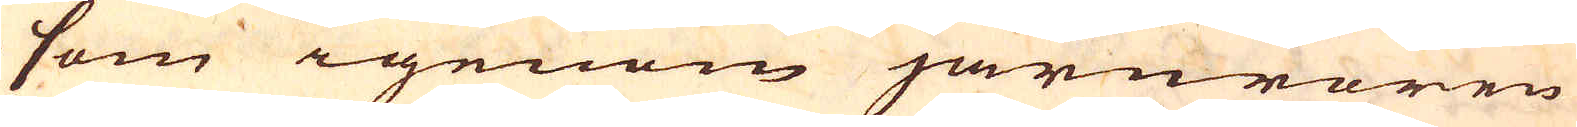som igenom järnrören
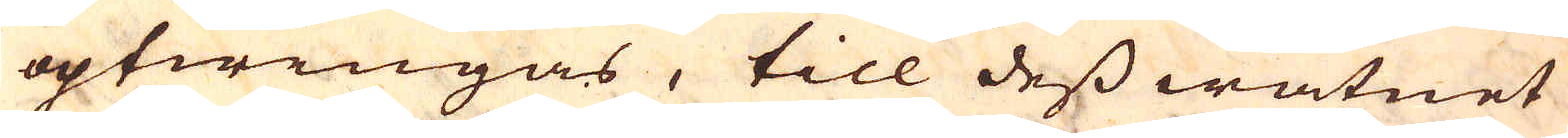optwingas, till dess watnet
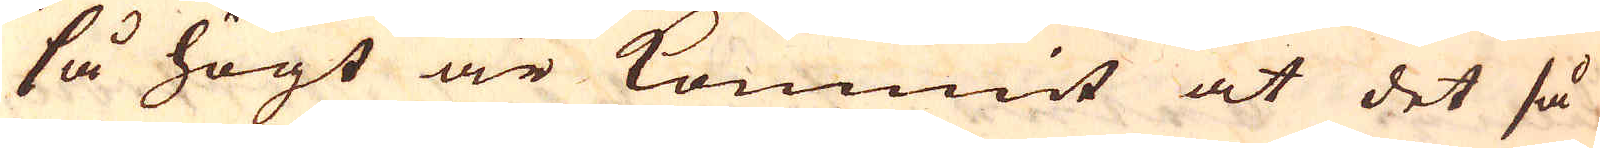så högt är kommit at det så
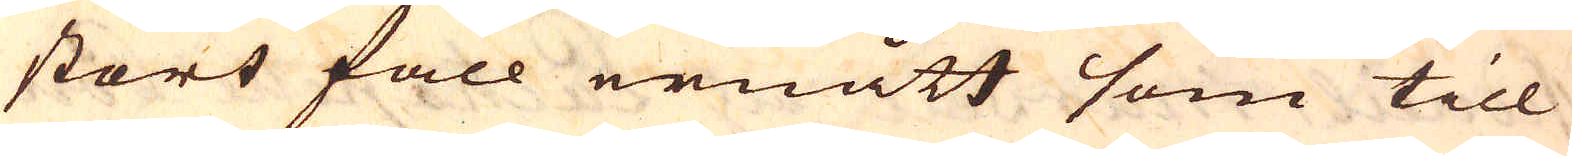stors fall ernått som till
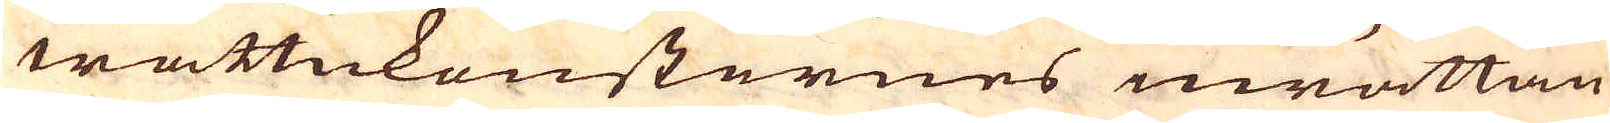wattukonsternes inrättan-
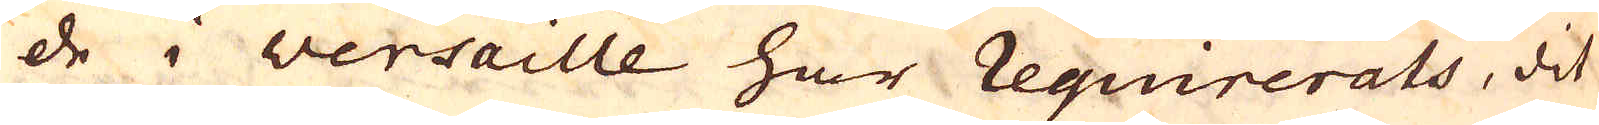de i versaille har requirerats, dit
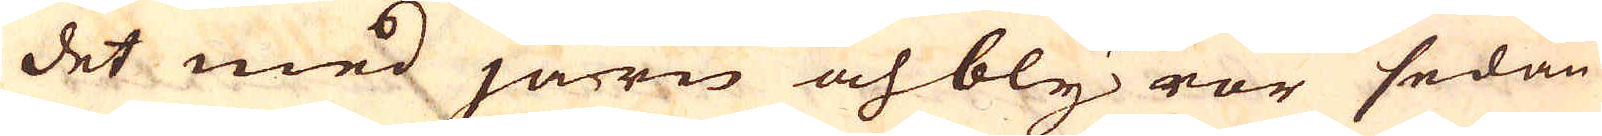det med järn och bly rör sedan
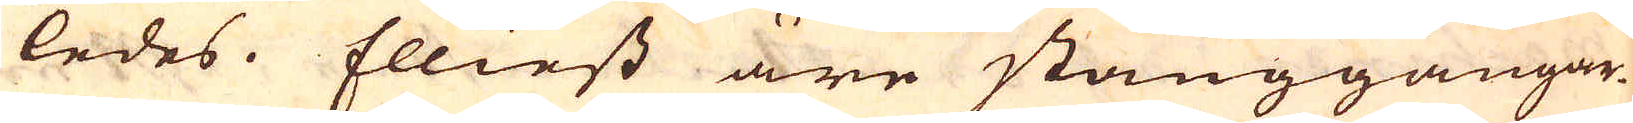ledes. Elliest äre stånggångar-
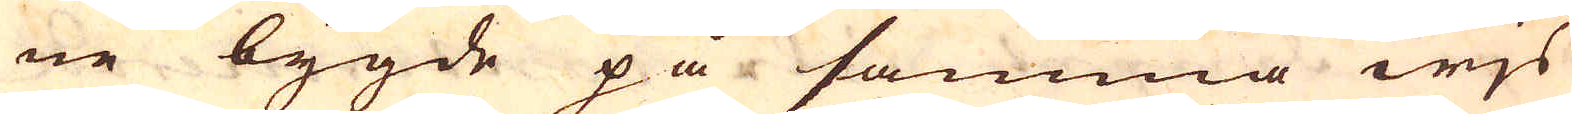ne bygde på samma wjs
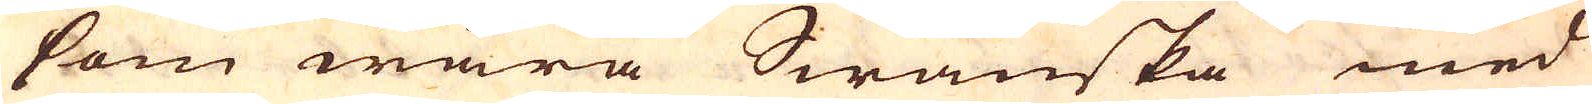som wåra Swänska med
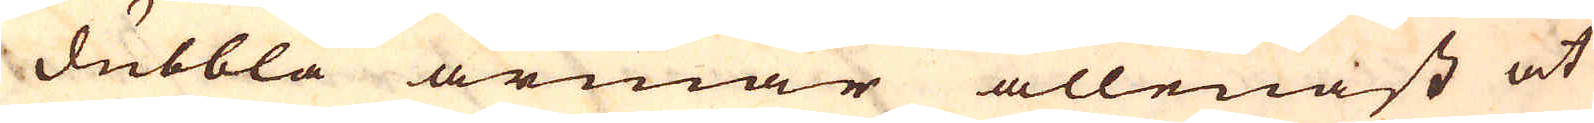dubbla armar allenast at
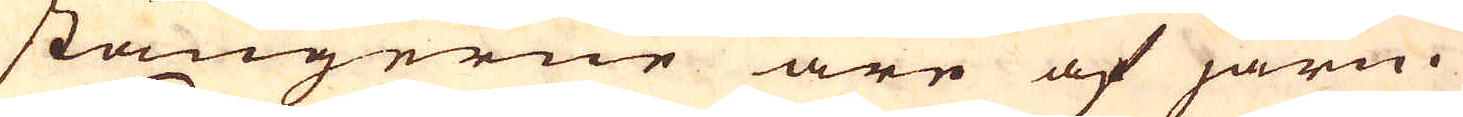stängerne äre af järn.
